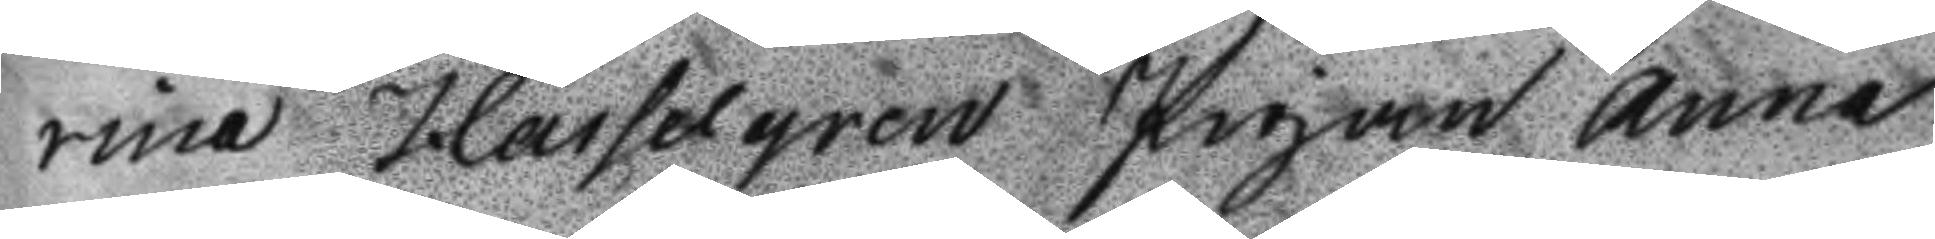rina Hasselgren pigan Anna
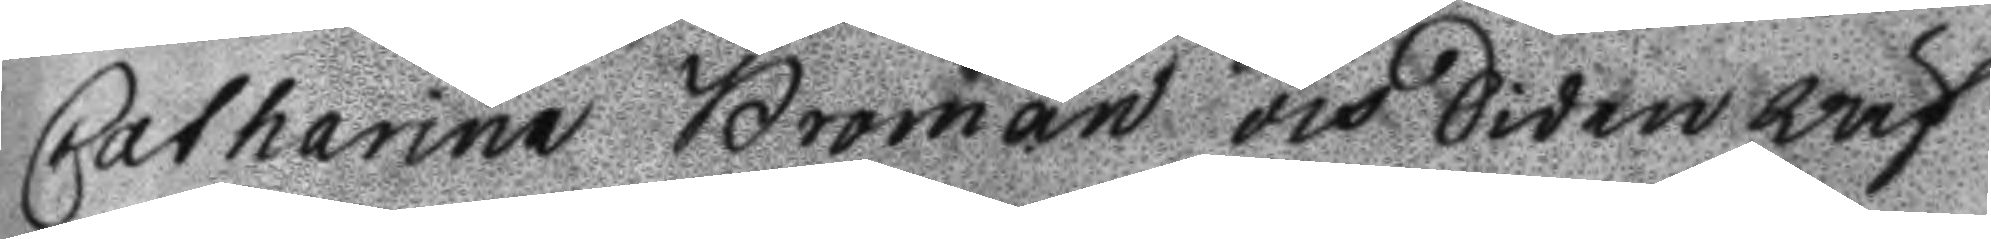Catharina Broman och Siden wäf
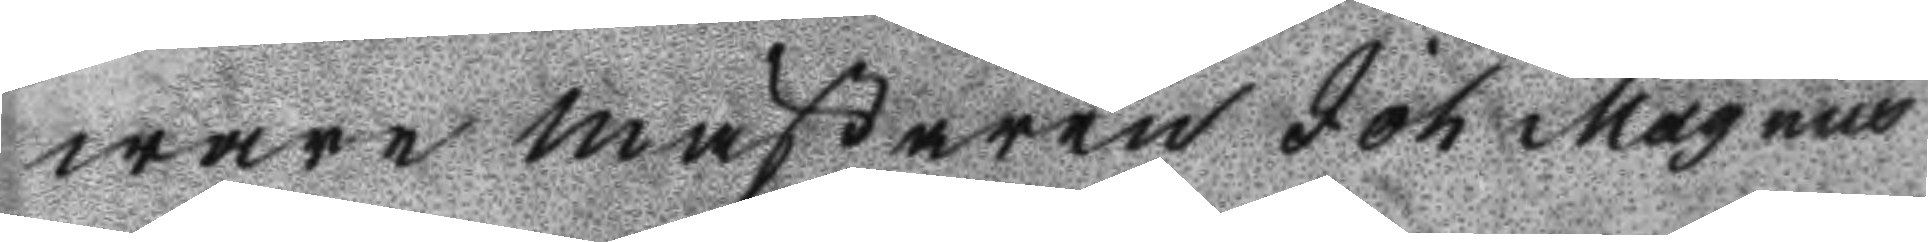ware mästaren Joh Magnus
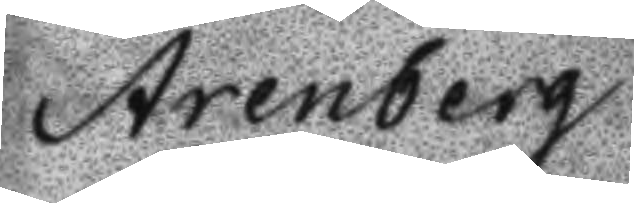Arenberg.
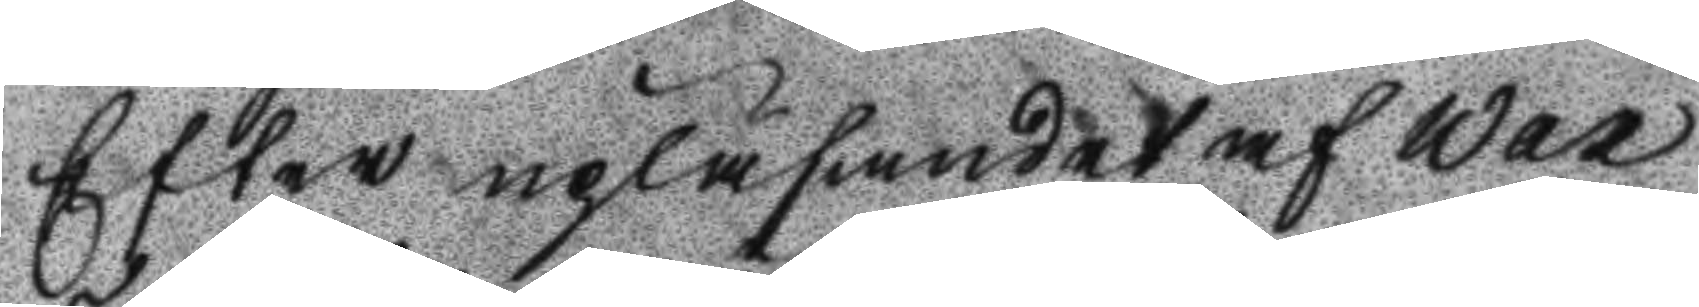efter upläsandet af Wax
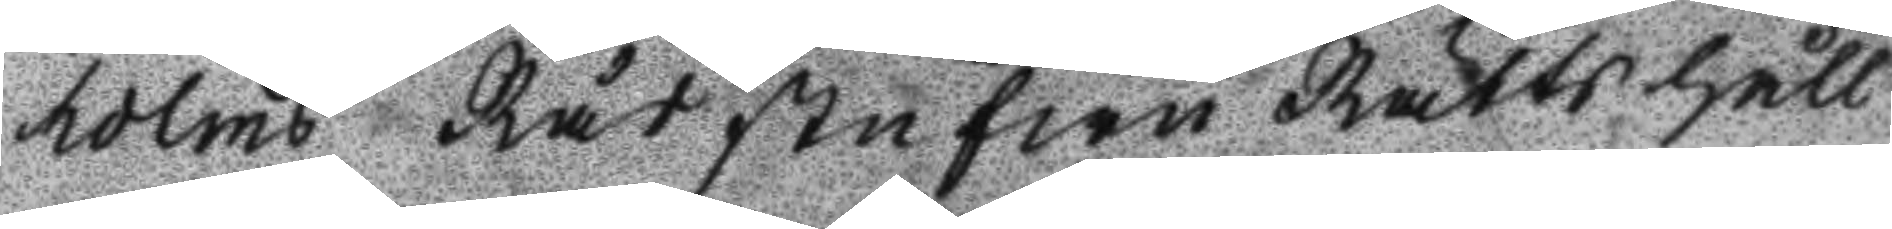holms Rådstufwu Rätts håll
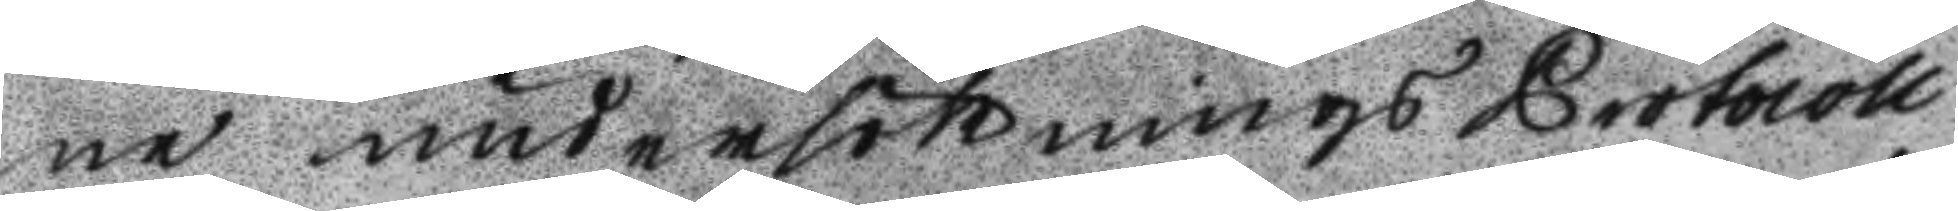ne undersöknings Protocoll
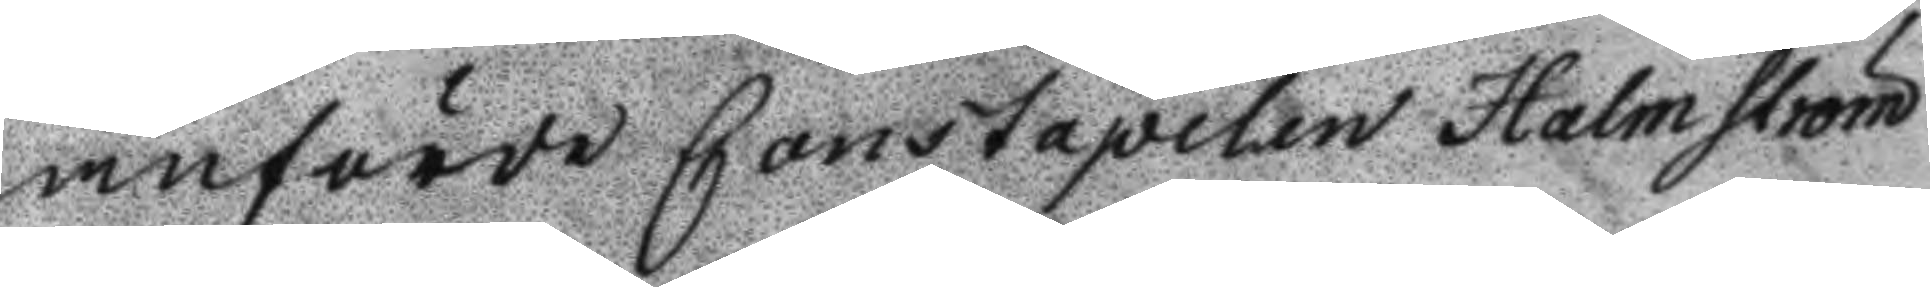anförde Constapelen Holmström
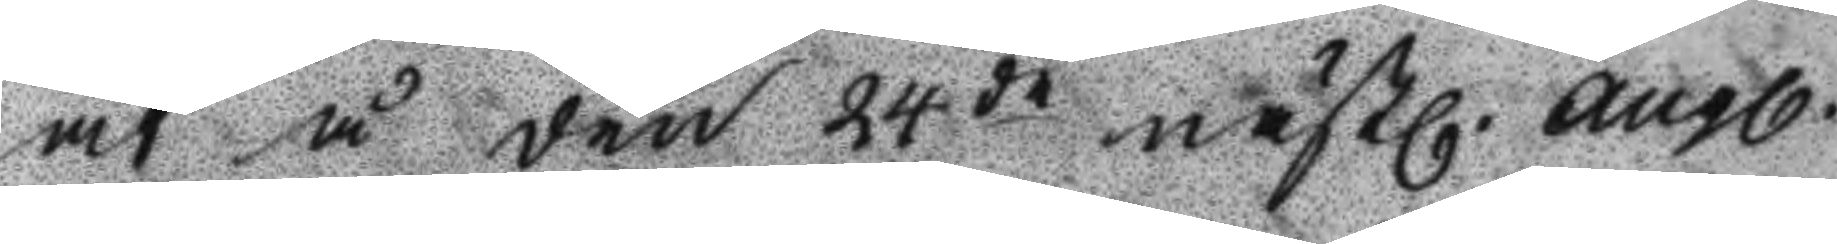at å den 24de nästl. Augl.
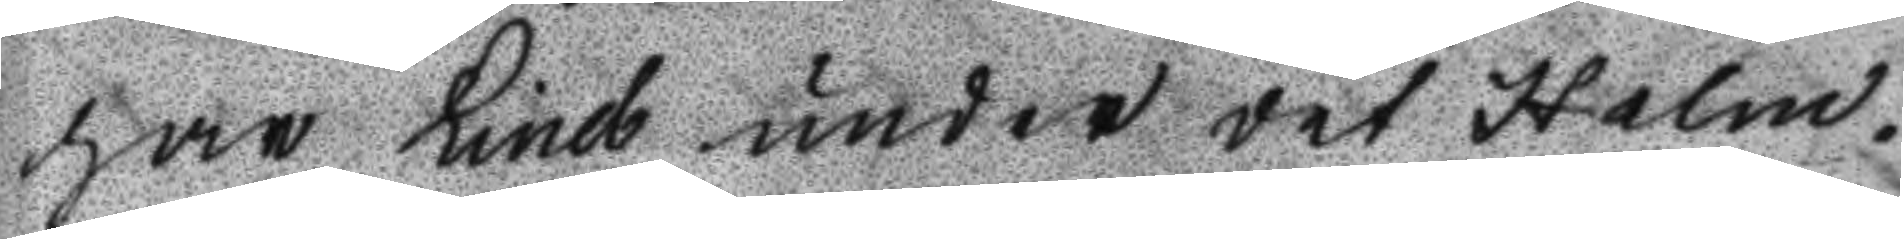har Lind under det Holm¬
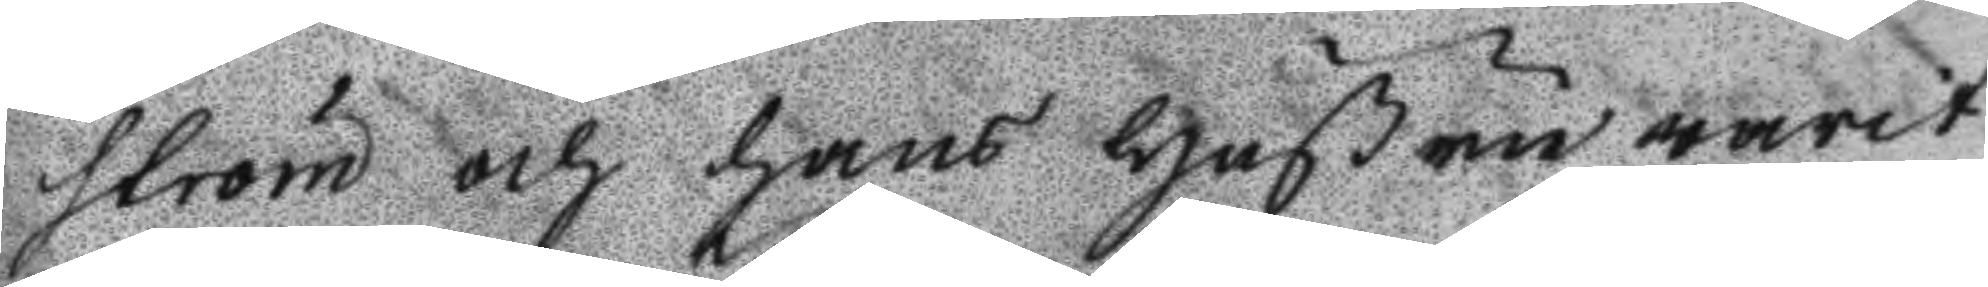ström och hans Hustru warit
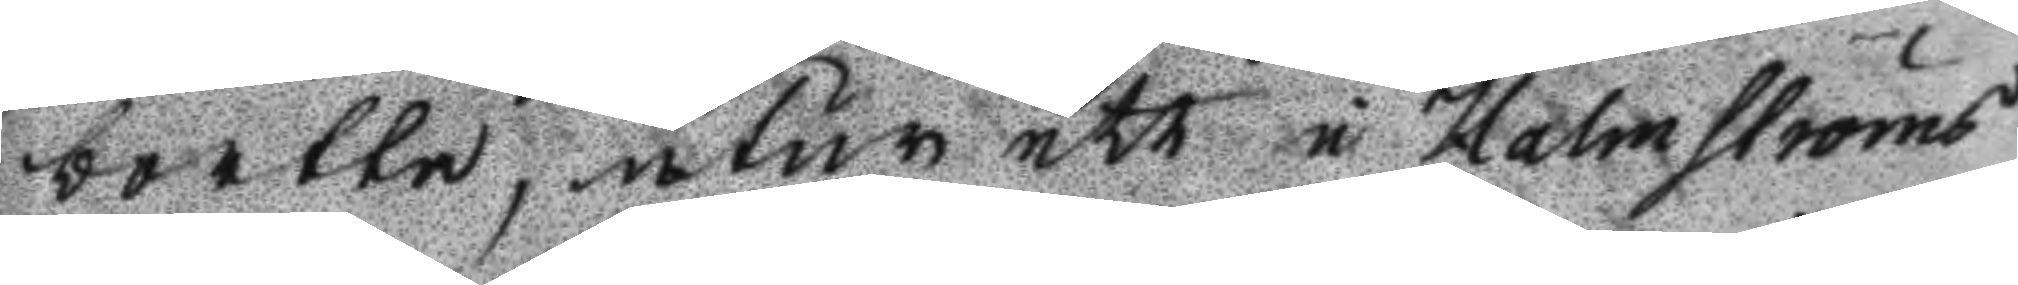bortta, utur ett i Holmströms
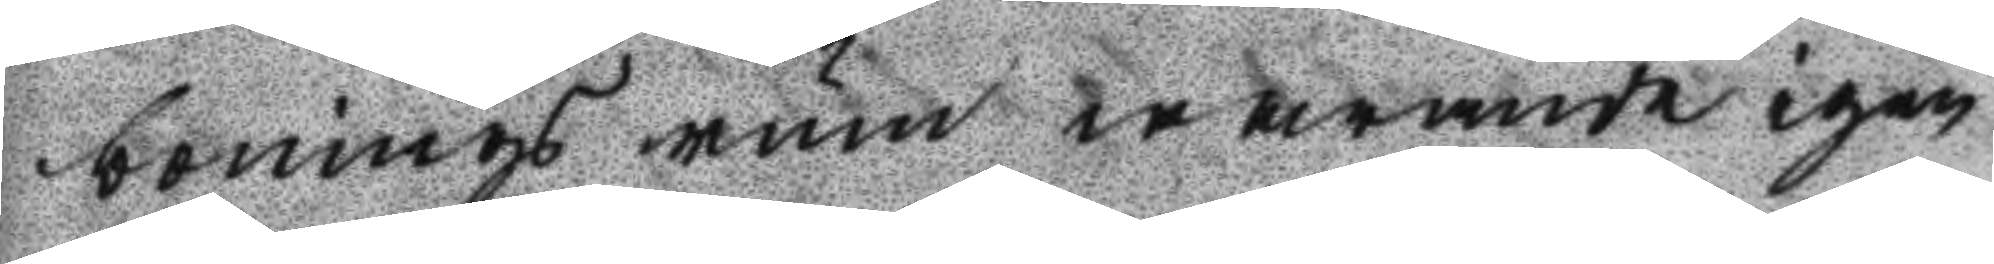bonings rum warande igen
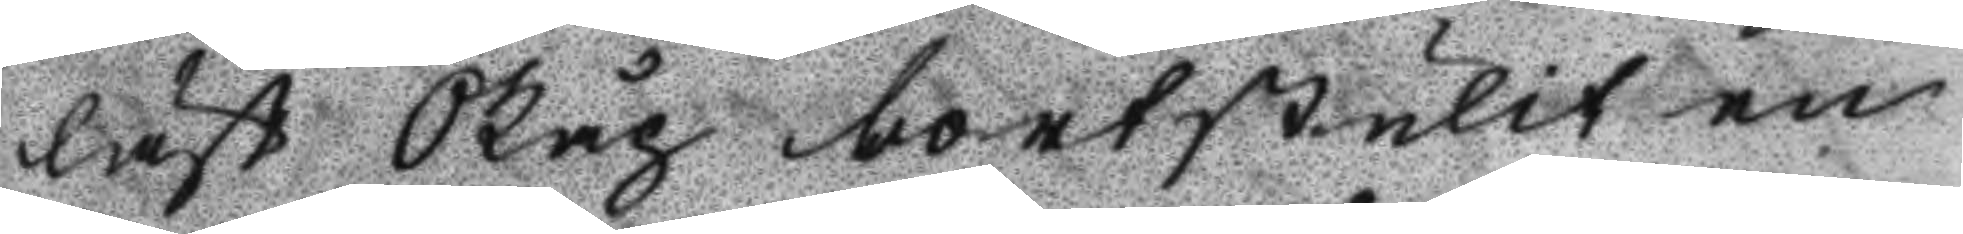låst Skåp bortstulit en
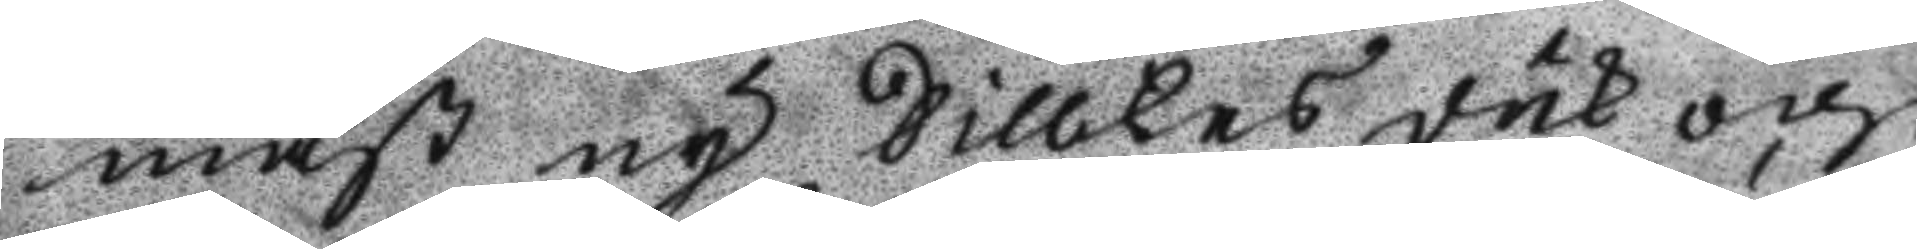mäst ny Aillkes duk och
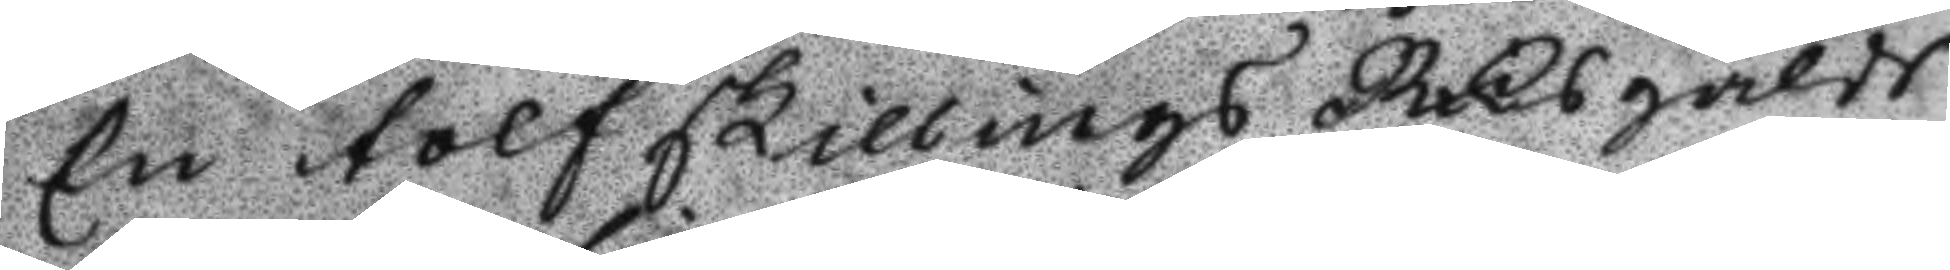En tolfskillings Riksgälds
